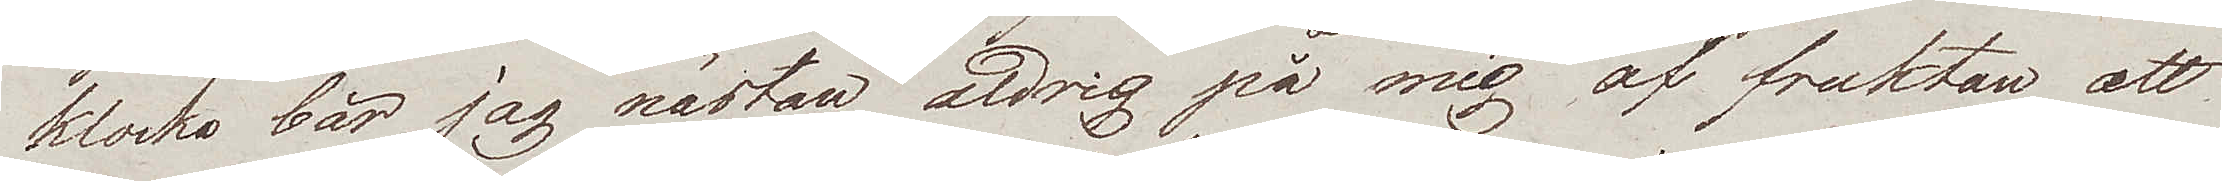klocka bär jag nästan aldrig på mig af fruktan att
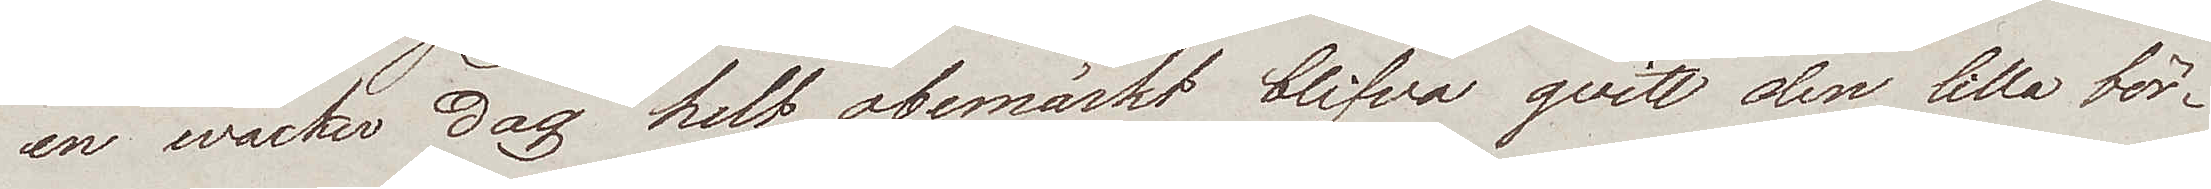en wacker dag helt obemärkt blifva qvitt den lilla bör¬
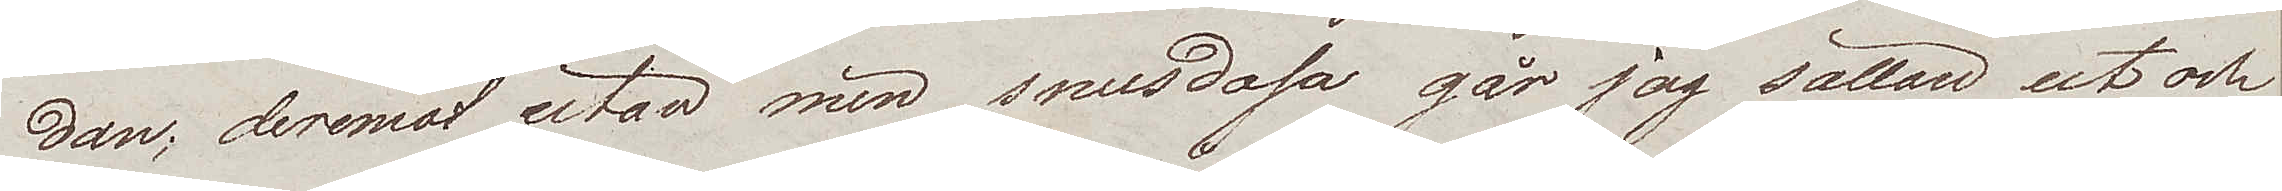dan; deremot utan min snusdosa går jag sällan ut och
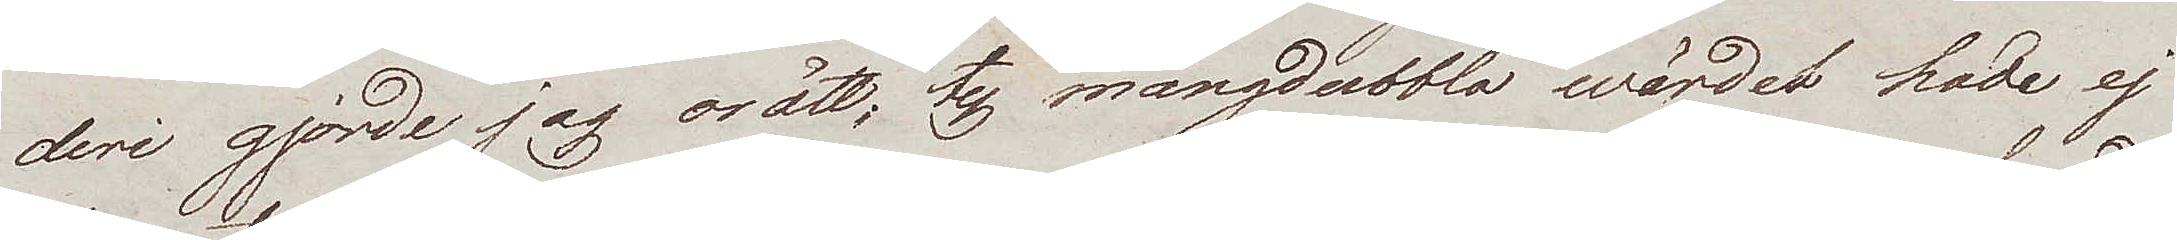deri gjorde jag orätt; ty mångdubbla wärdet hade ej
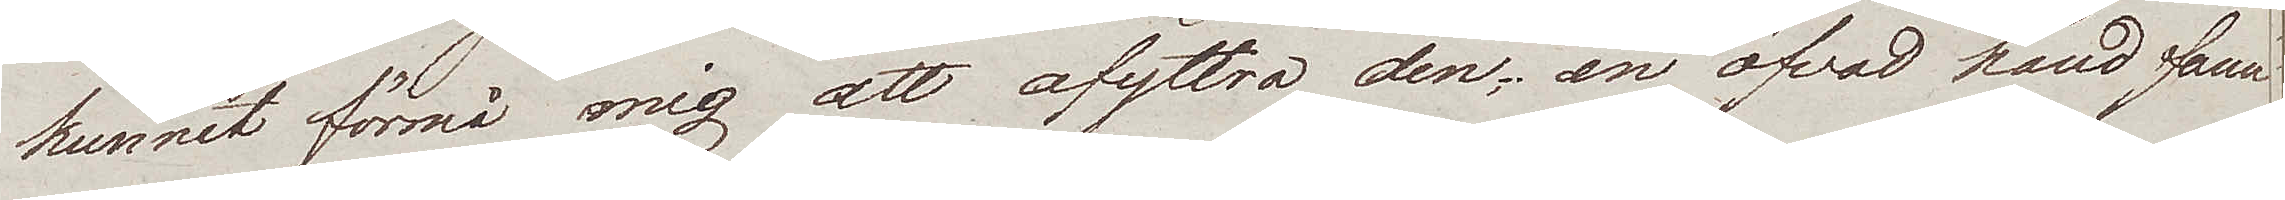kunnat förmå mig att afyttra den; en öfvad hand fann
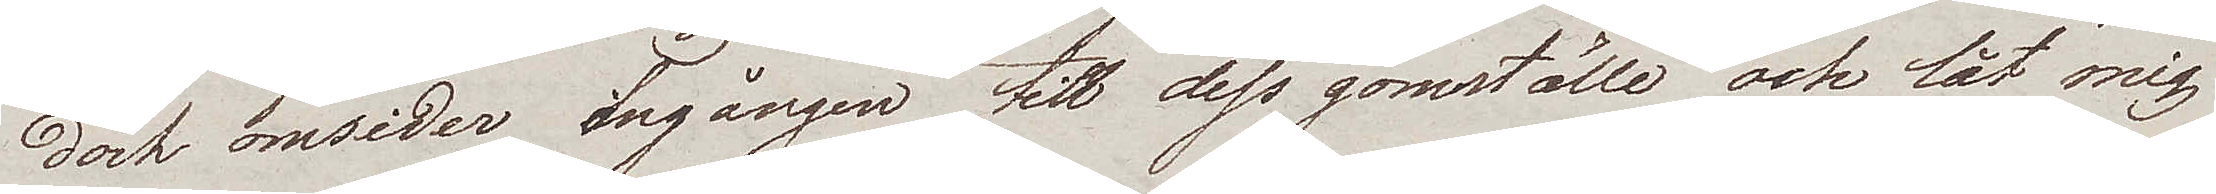dock omsider ingången till dess gömställe och lät mig
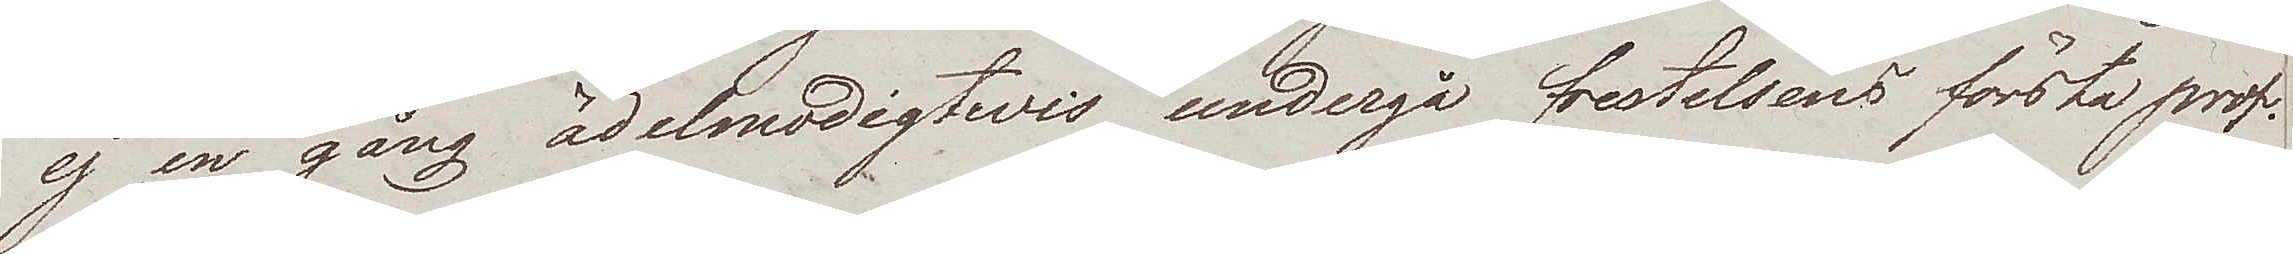ej en gång ädelmodigtwis undergå frestelsens första prof.
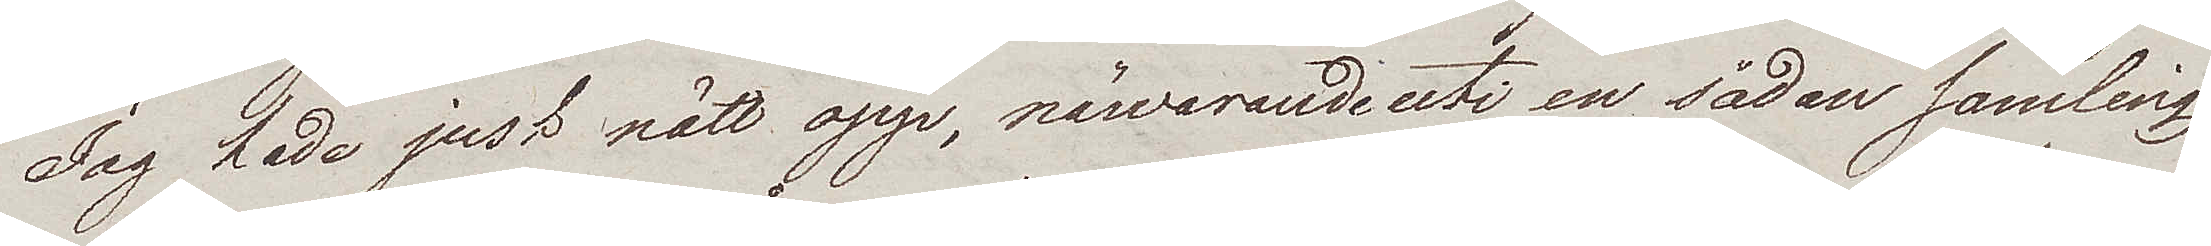Jag hade just nätt opp, närvarande uti en sådan samling
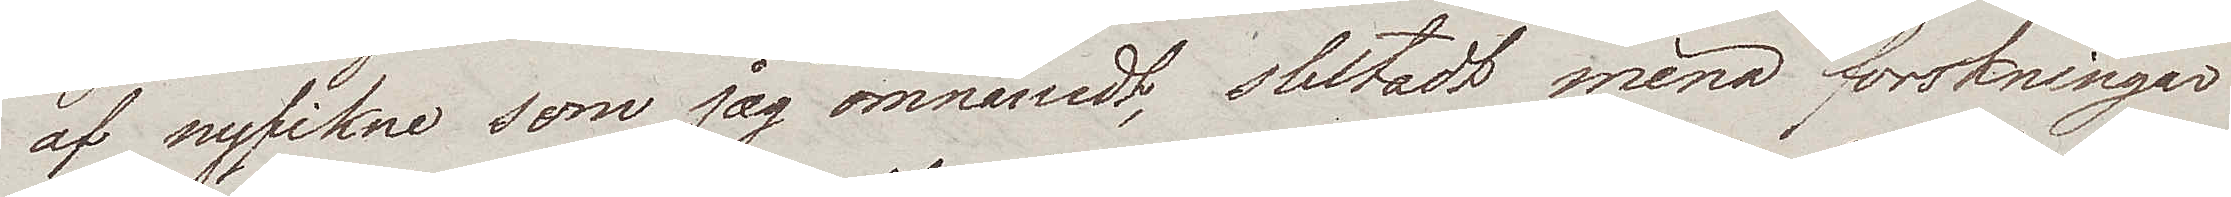af nyfikne som jag omnämdt, slutadt mina forskningar
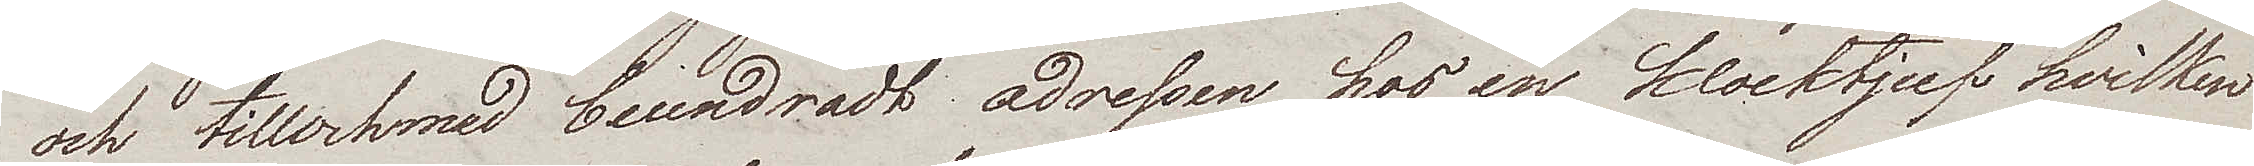och tillochmed beundradt adressen hos en klocktjuf hvilken
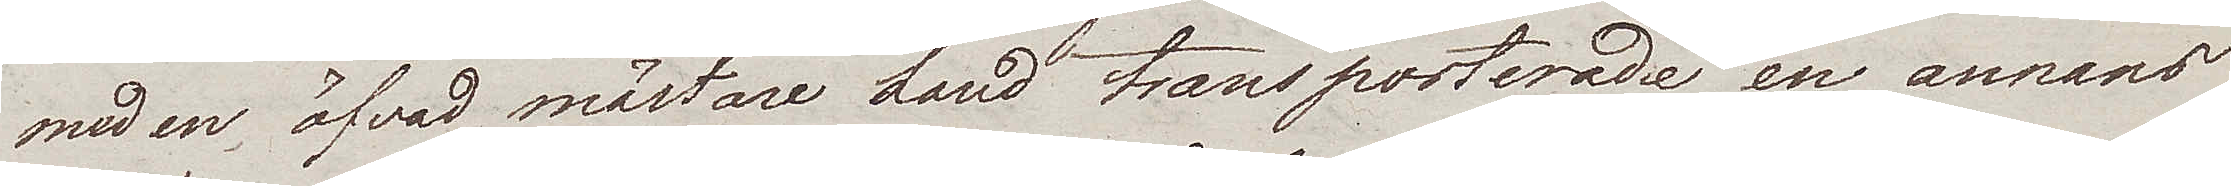med en, öfvad mästare hand transporterade en annans
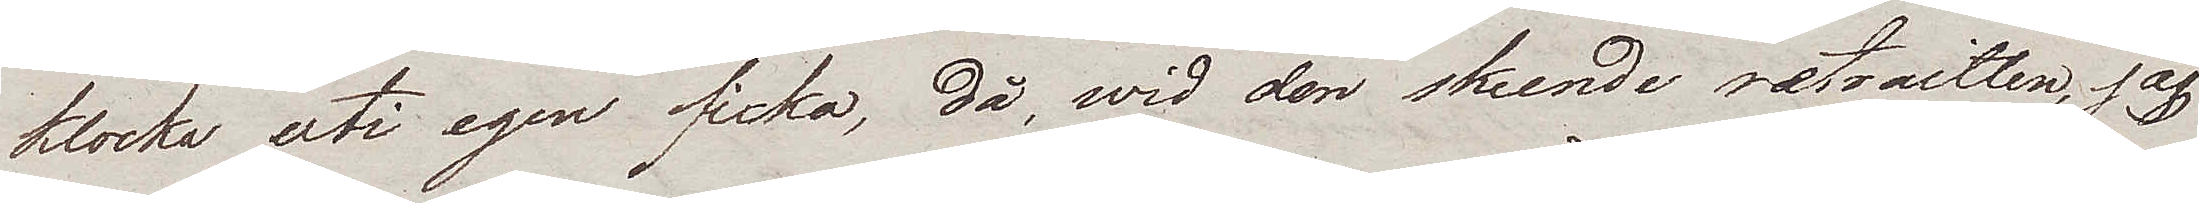klocka uti egen ficka, då wid den skeende retraitten, jag
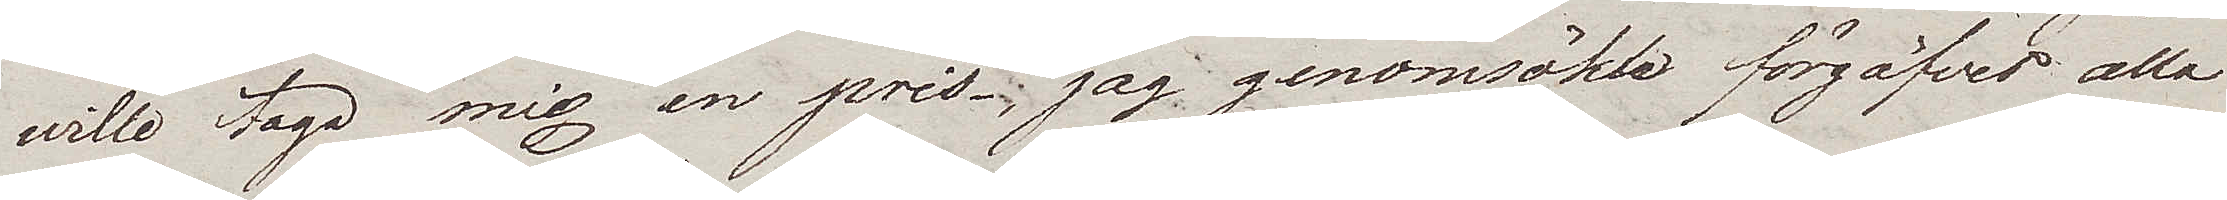wille taga mig en pris; jag genomsökte förgäfves alla
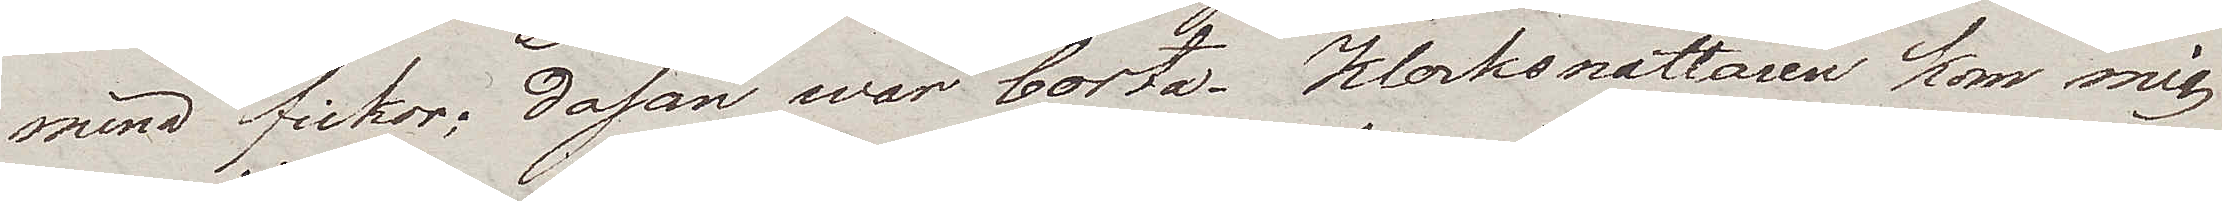mina fickor; dosan war borta. Klocksnattaren kom mig
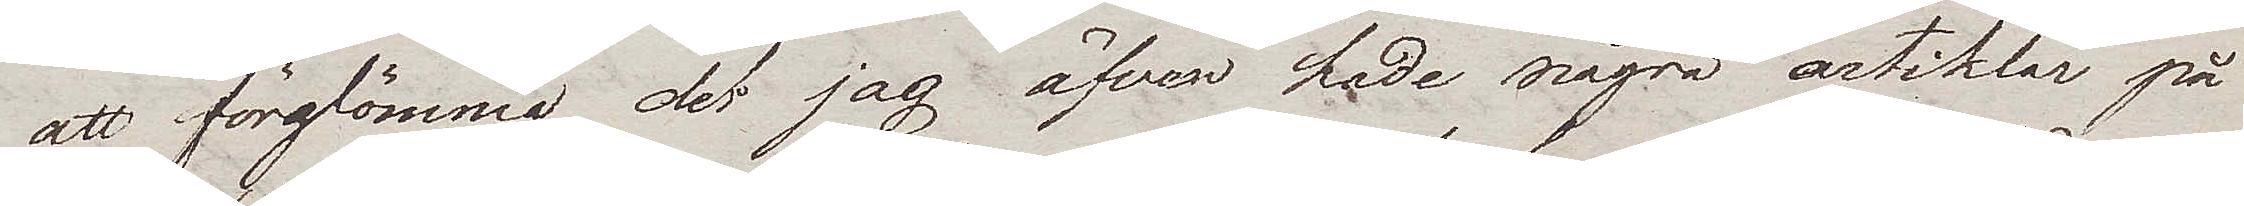att förglömma det jag äfven hade några artiklar på
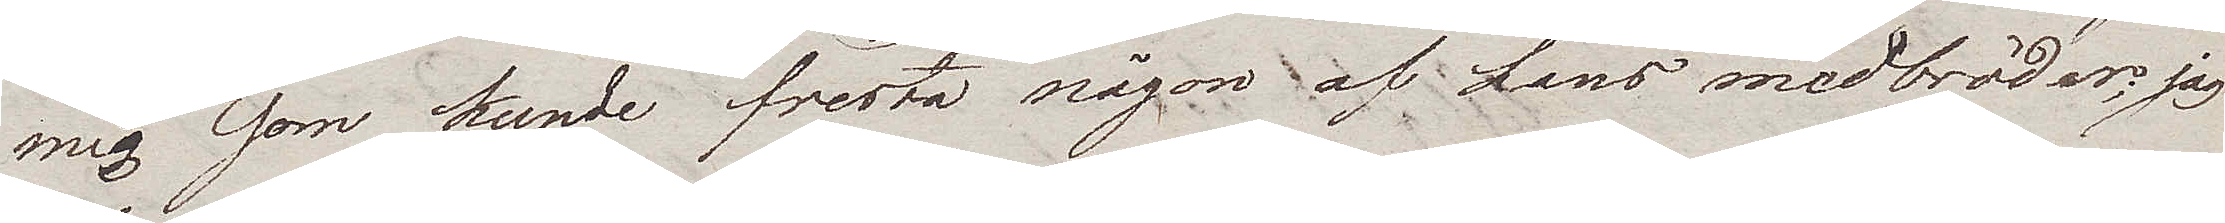mig som kunde fresta någon af hans medbröder; jag
